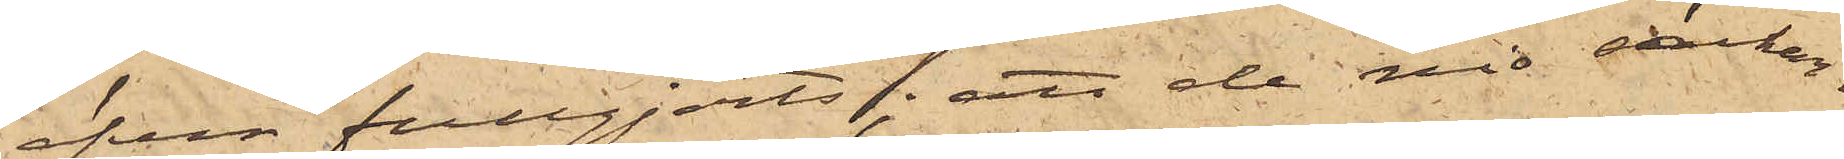äfven fullgjorts; att de nio säckar¬
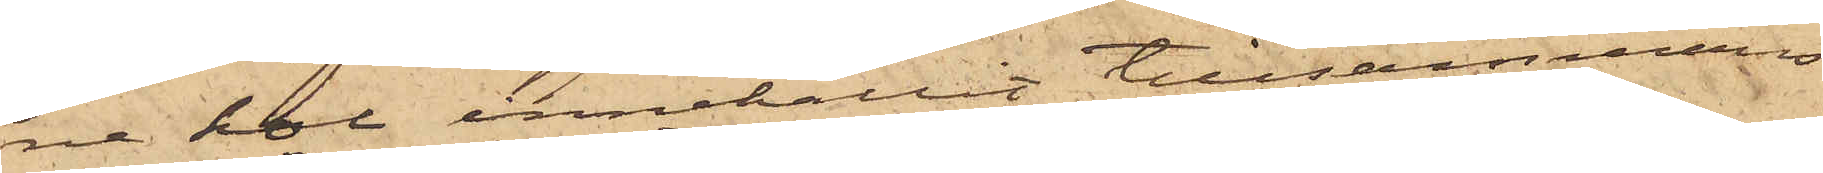ne kol innehållit tillsammans
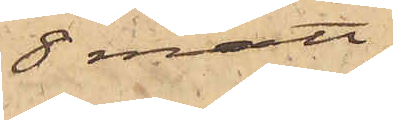8 mått;
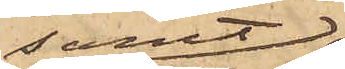samt
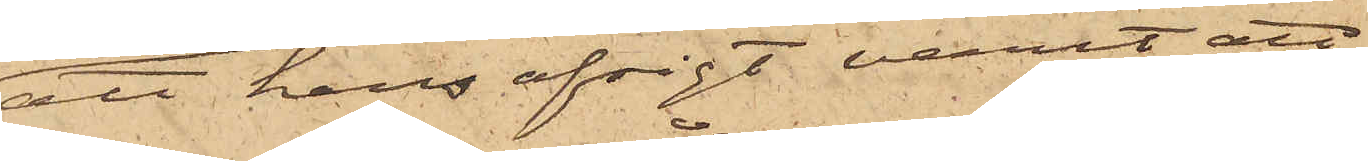att hans afsigt varit att
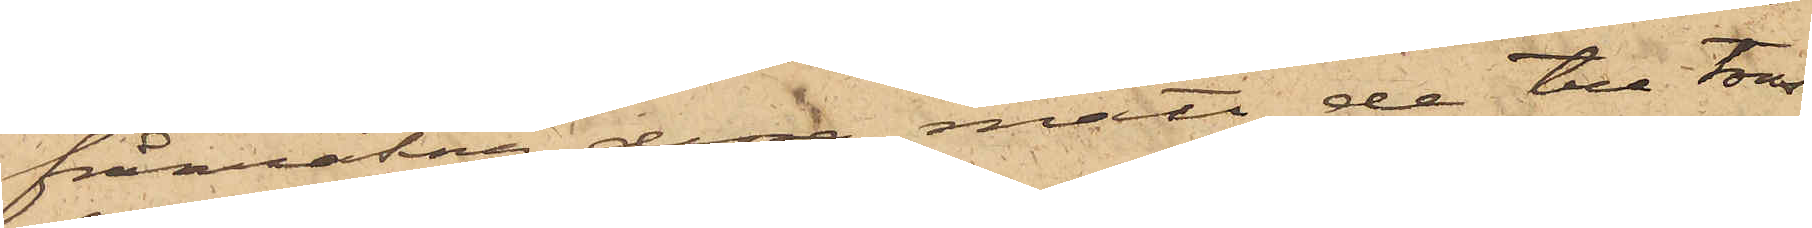frånräkna dessa mått de tre tons
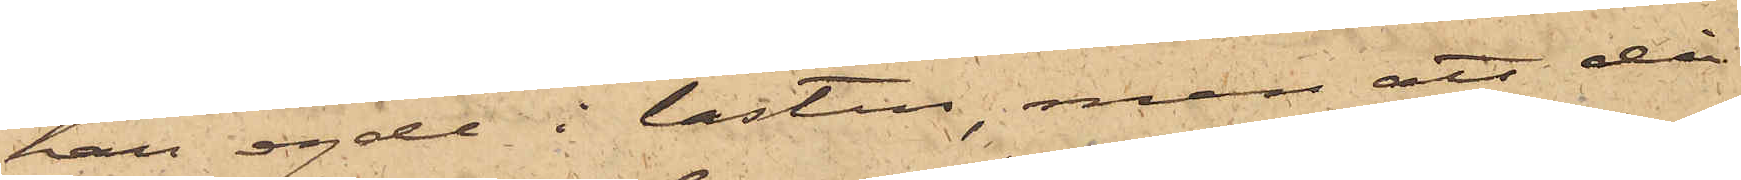han egde i lasten, men att då
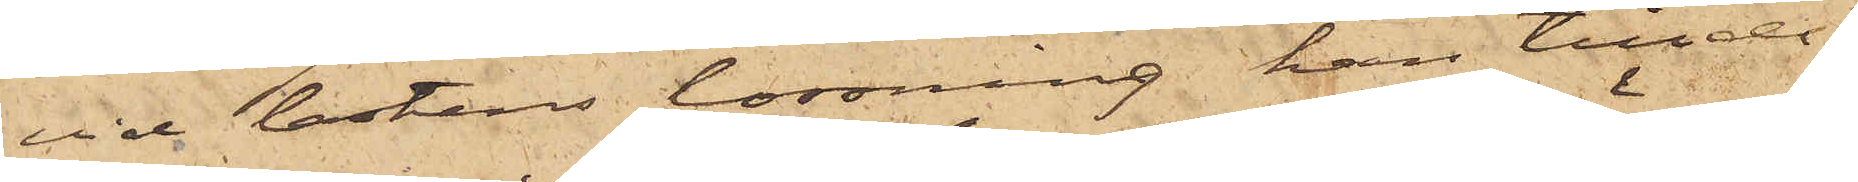vid lastens lossning han tillde¬
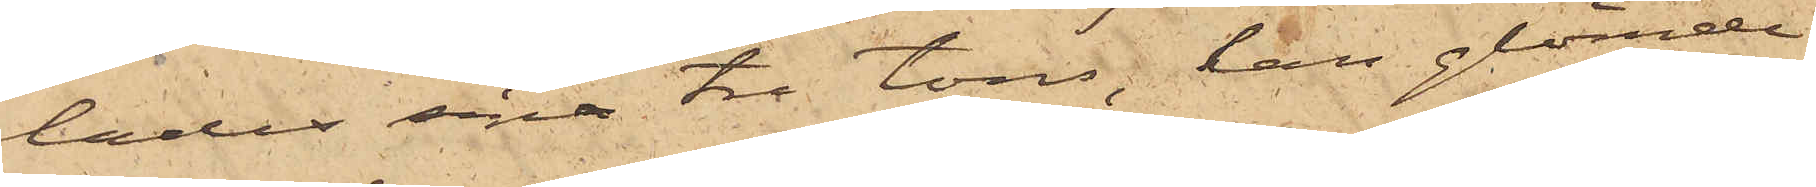lades sina tre tons, han glömde
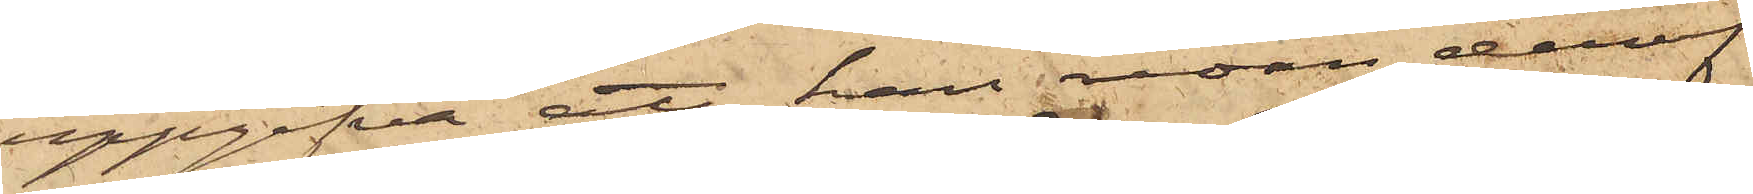uppgifva att han redan deraf
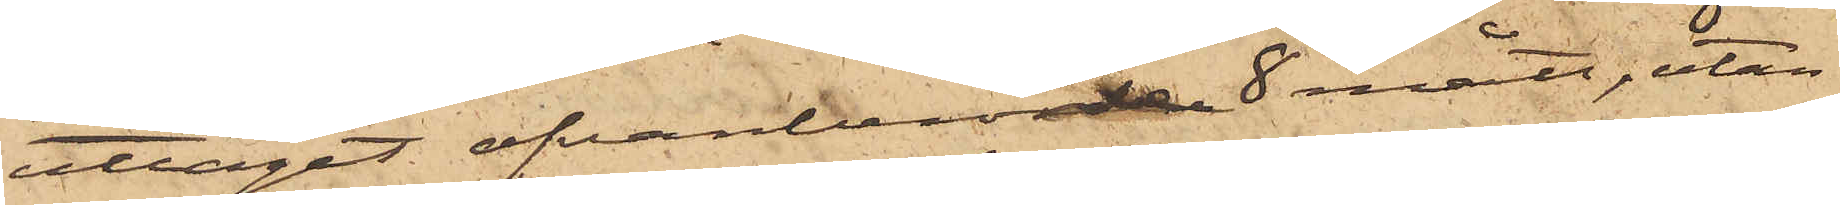uttagit ofvanberörde 8 mått, utan
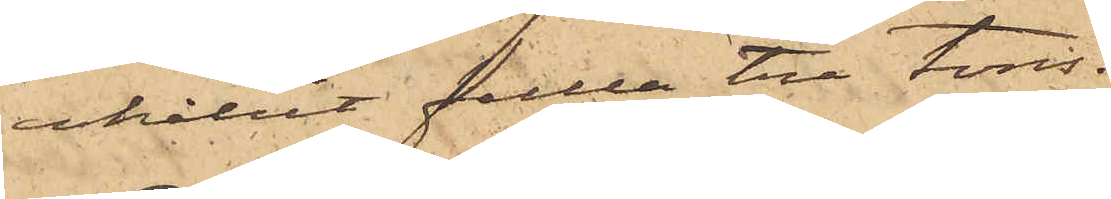erhållit fulla tre tons.
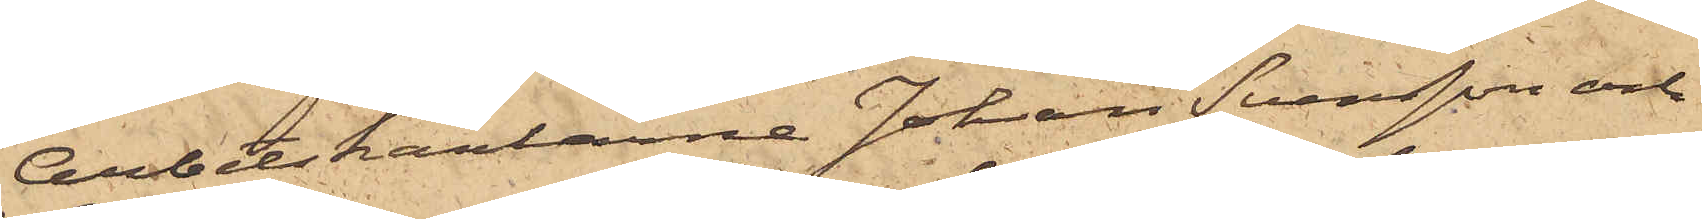Arbetskarlarne Johan Svensson och
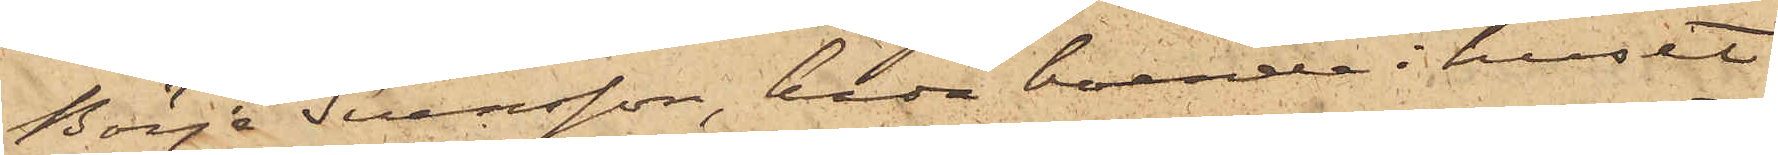Börje Svensson, båda boende i huset
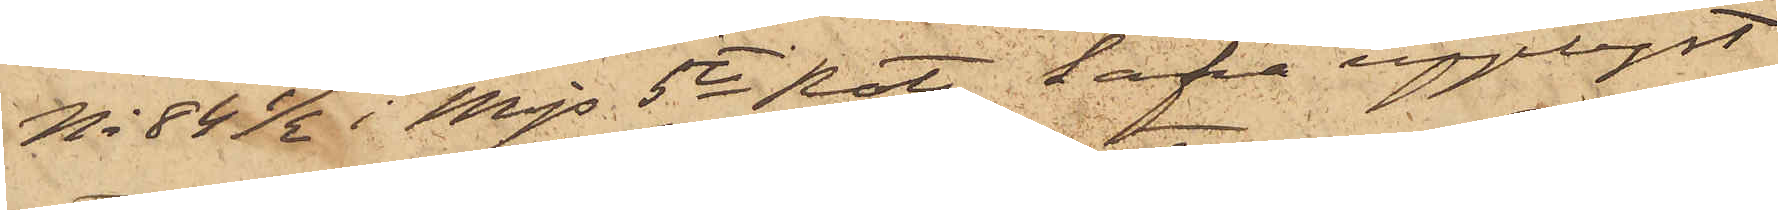No 84½ i Mjs 5te Rote, hafva upplyst
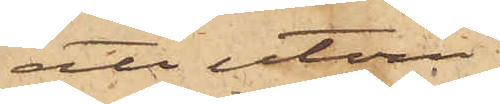att utom
